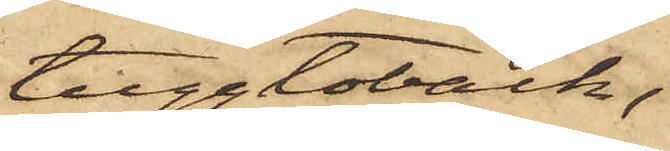tuggtoback,
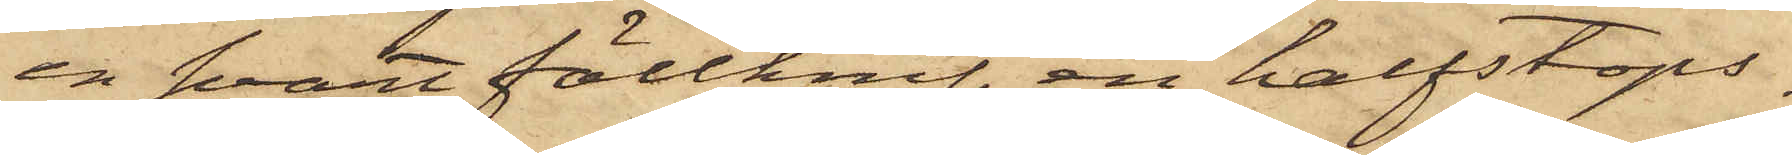en svart fällknif, en halfstops¬
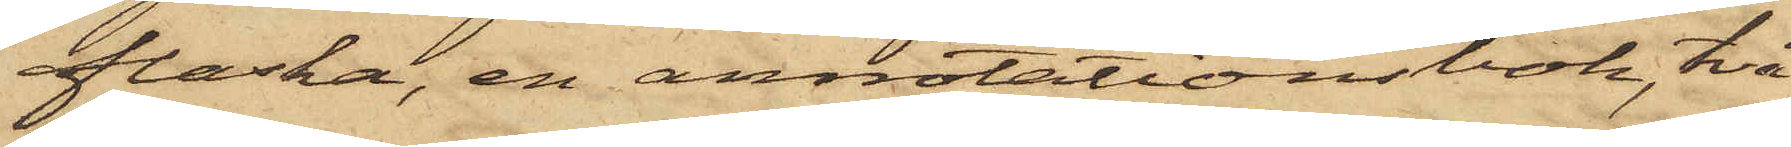flaska, en annotationsbok, två
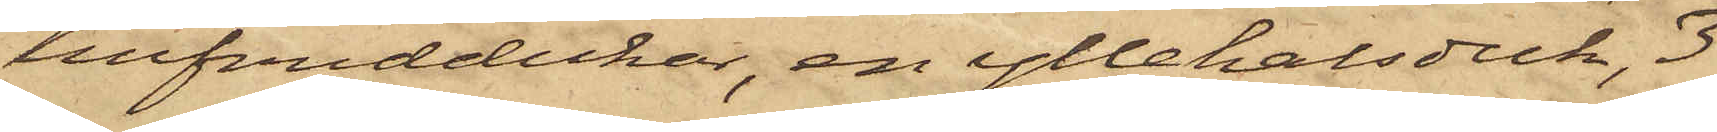hufvuddukar, en yllehalsduk, 3
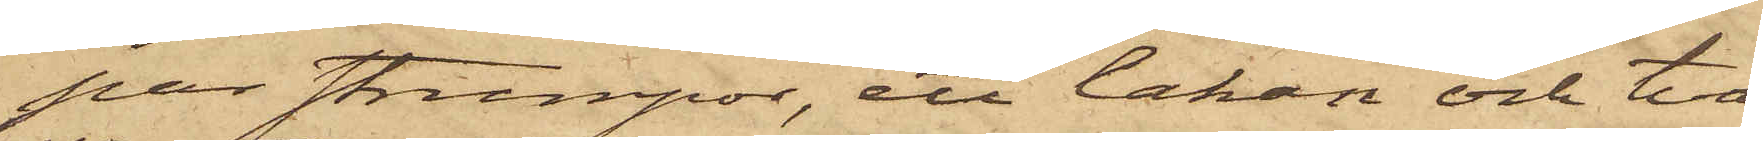par strumpor, ett lakan och två
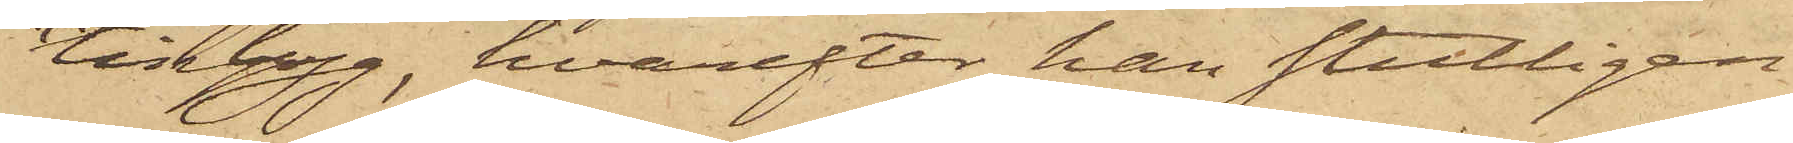lintyg, hvarefter han slutligen
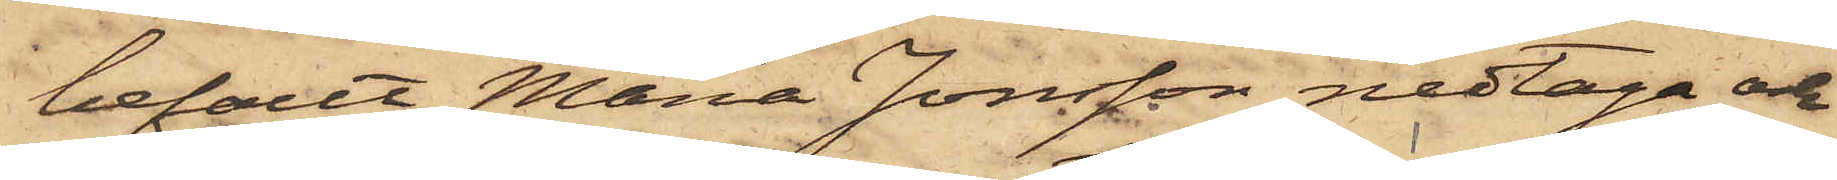befallt Maria Jonsson nedtaga och
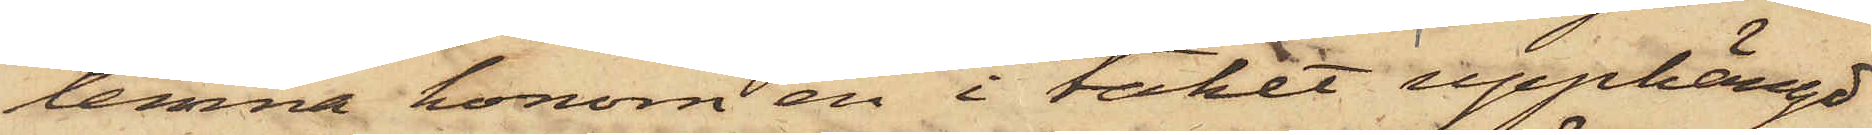lemna honom en i taket upphängd
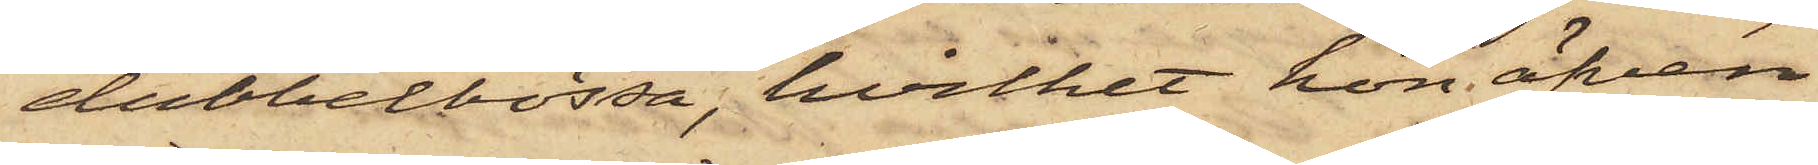dubbelbössa, hvilket hon äfven
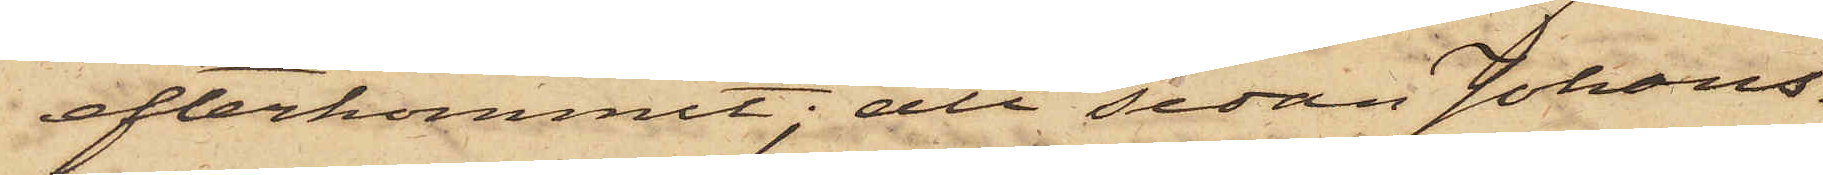efterkommit; att sedan Johans¬
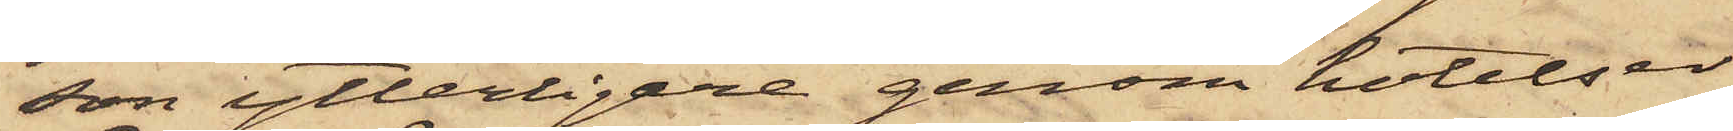son ytterligare genom hotelser
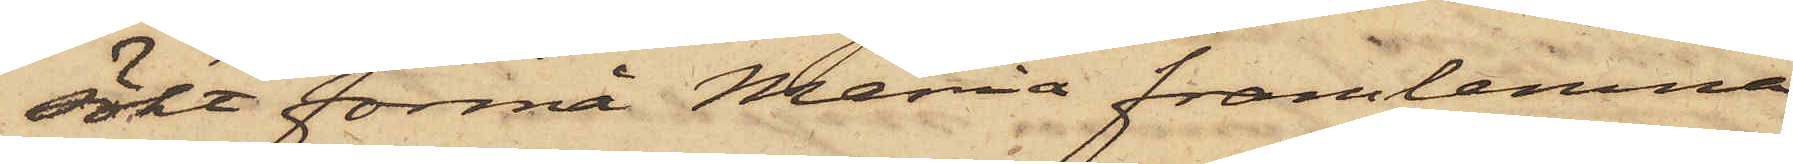sökt förmå Maria framlemna
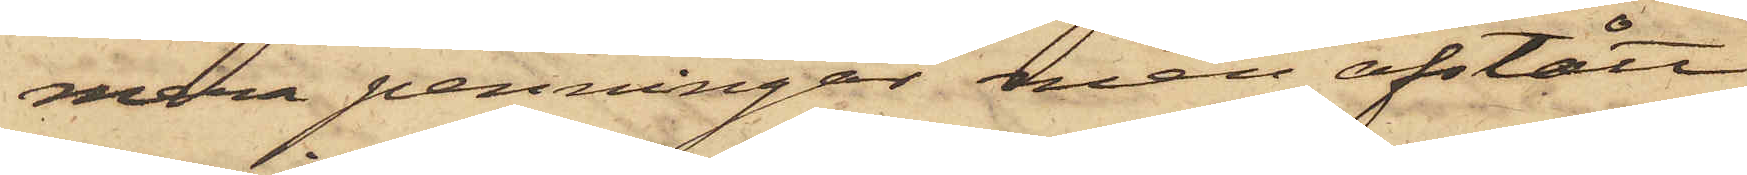mera penningar men afstått
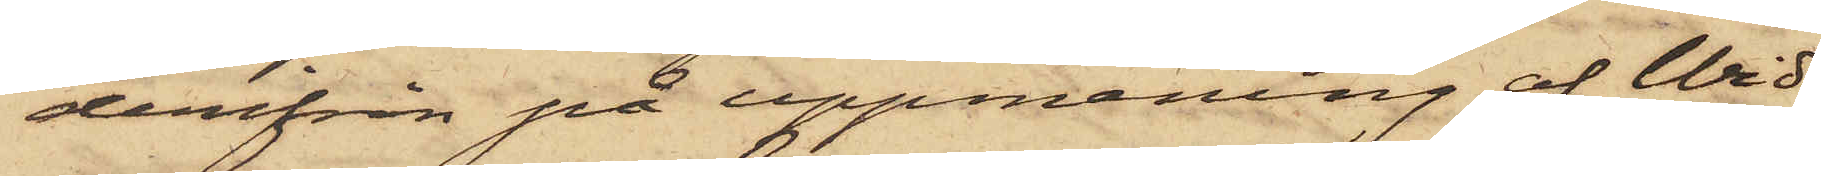derifrån på uppmaning af Wid¬
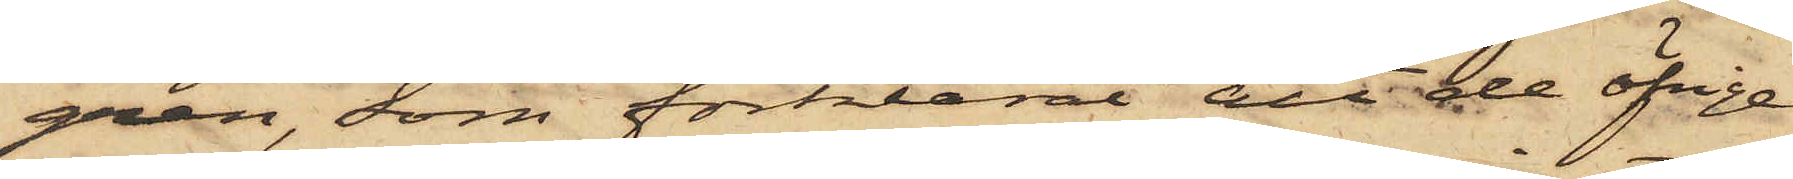gren, som förklarat att de öfrige
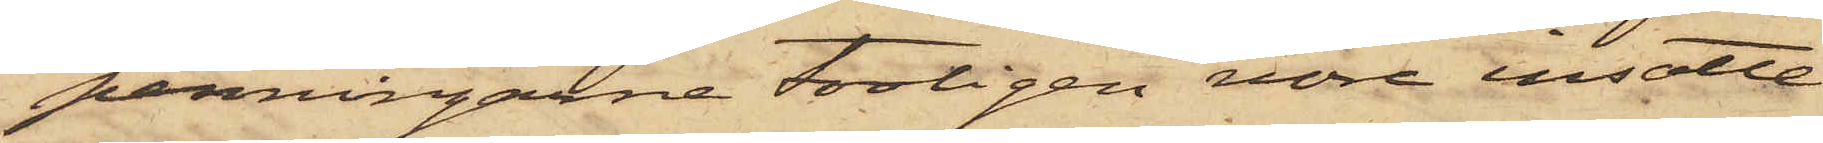penningarne troligen vore insatte
